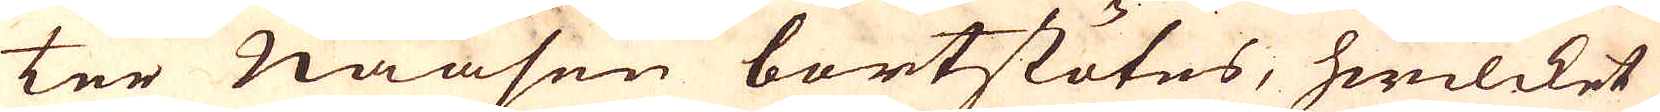ter Naasen bortstötes, hwilcket
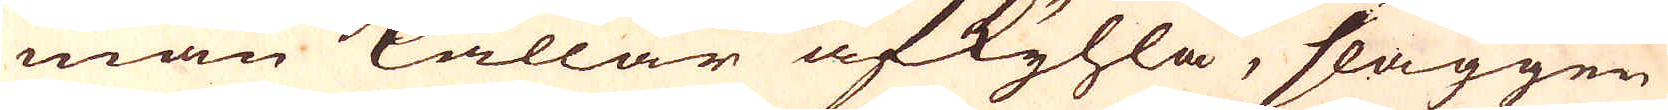man kallar afkyhla, slaggen
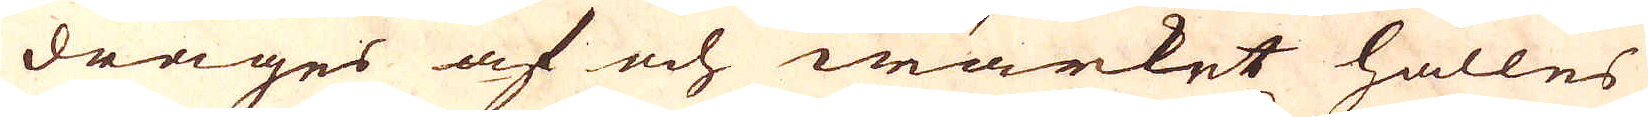drages af och wärket hålles
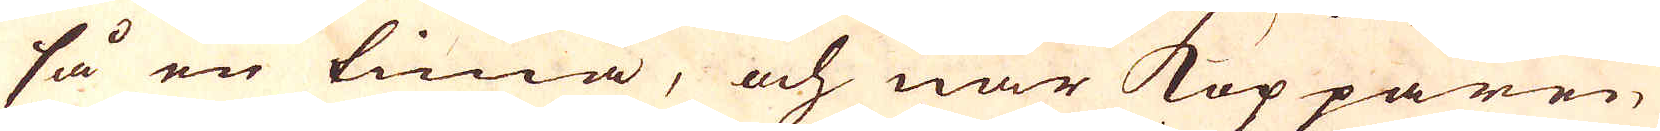så en tima, och när Kopparen
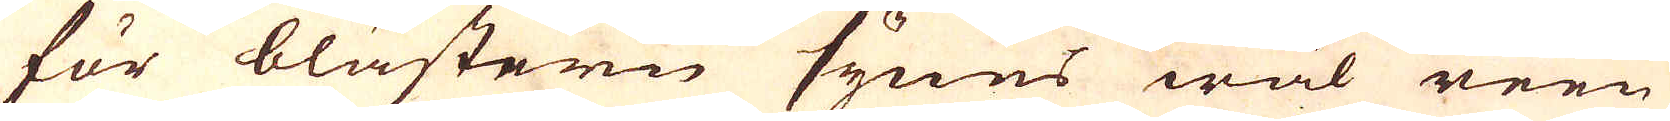för blästern synes wäl reen
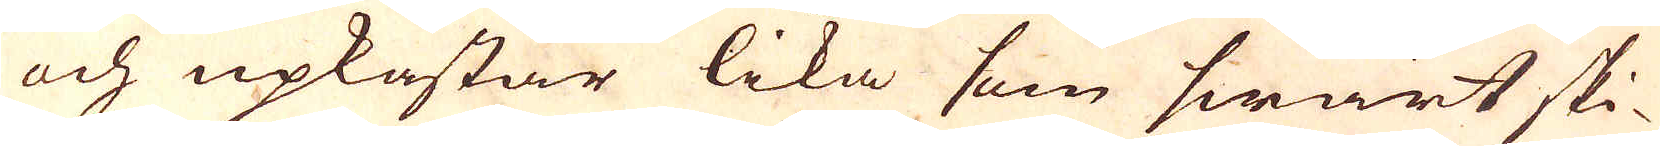och upkastar lika som swart ski-
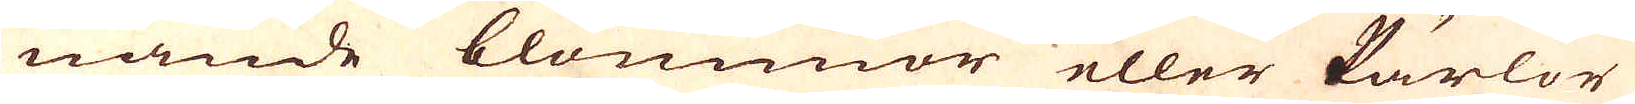nande blommor eller Pärlor
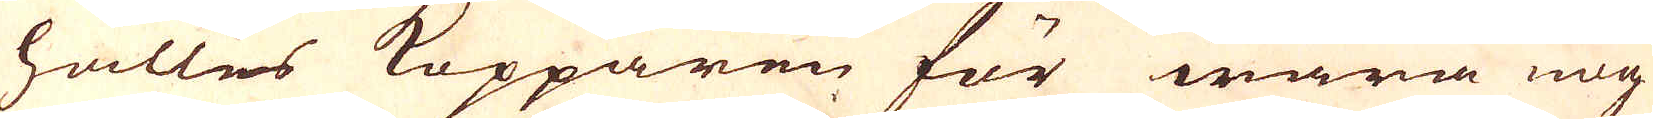hålles Kopparen för wara nog
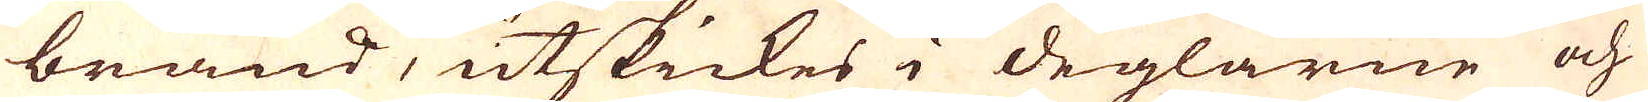bränd, utstickes i deglarne och
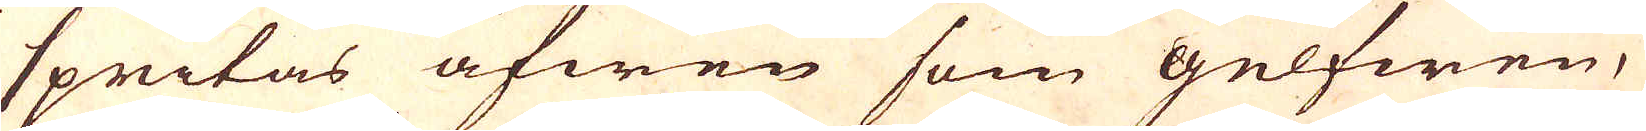spritas äfwen som gelfwen,
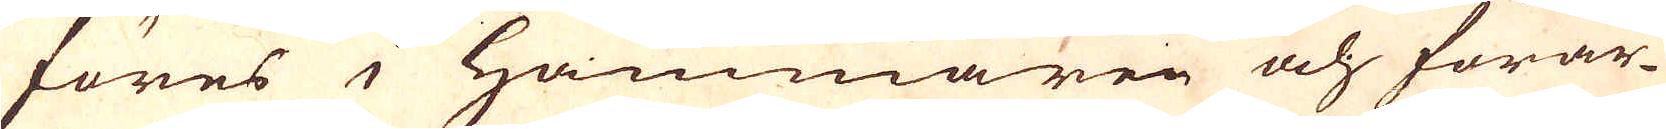föres i Hammaren och förar-
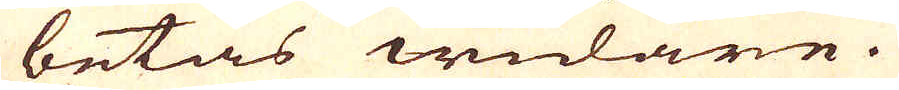betas widare.
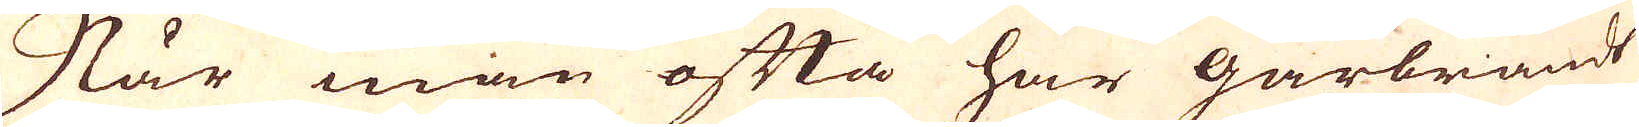När man ofta har gårbrändt
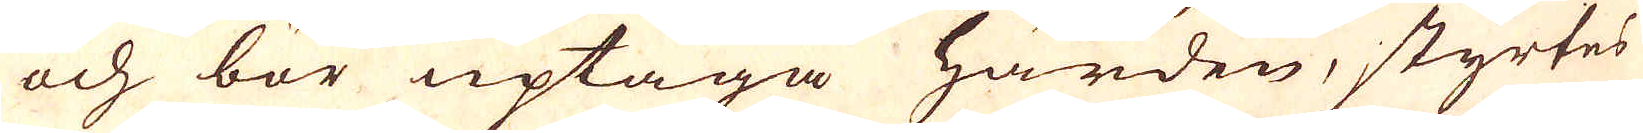och bör uptaga härden, styrtes
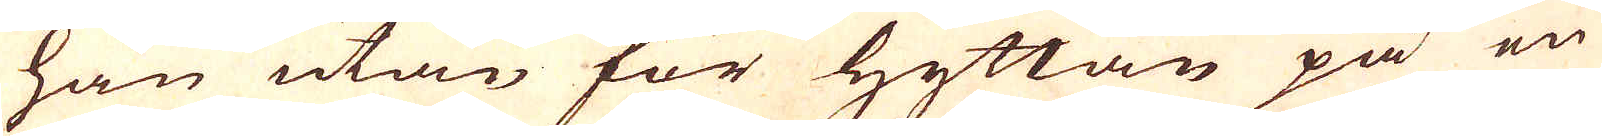han utan för Hyttan på en
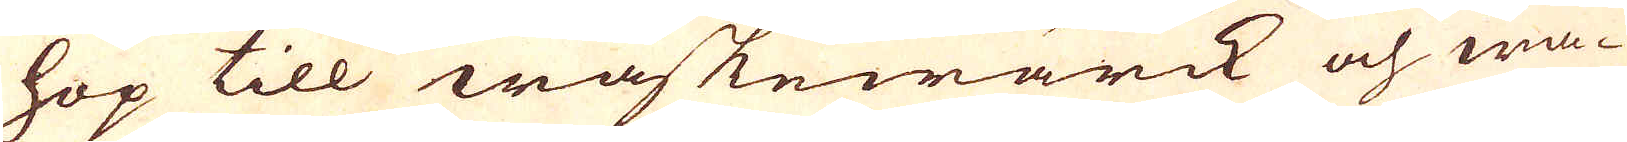hop till waskewärck och wa-
